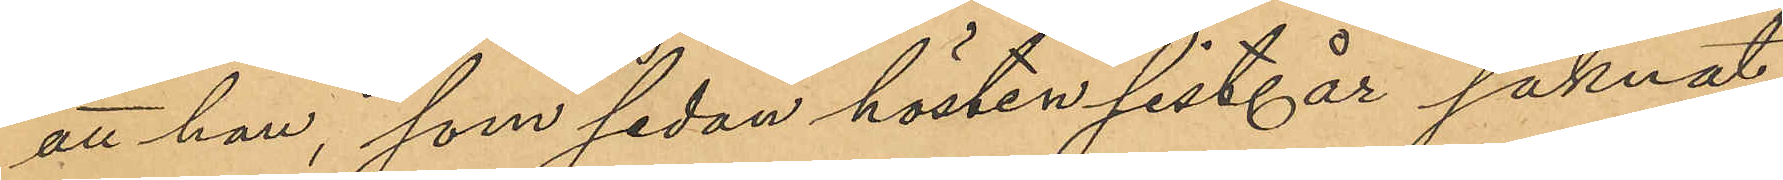att han, som sedan hösten sist. år saknat
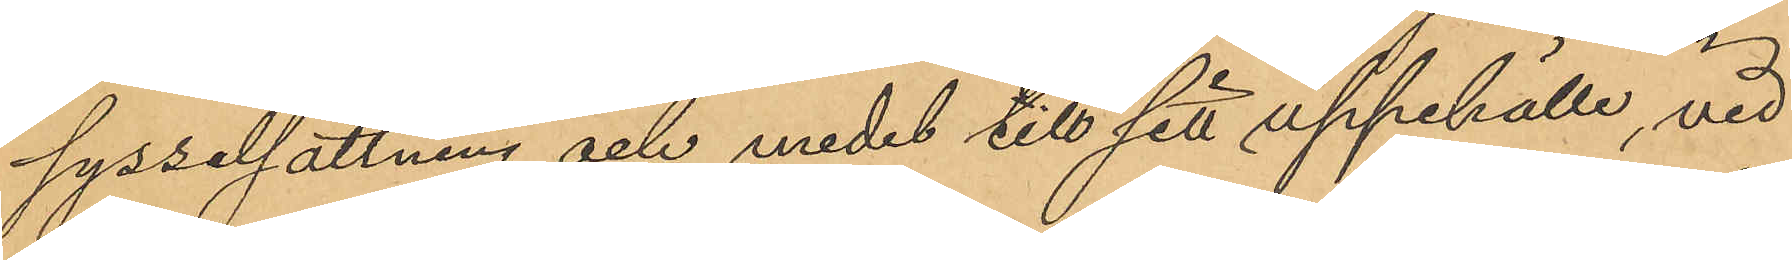sysselsättning och medel till sitt uppehälle, vid
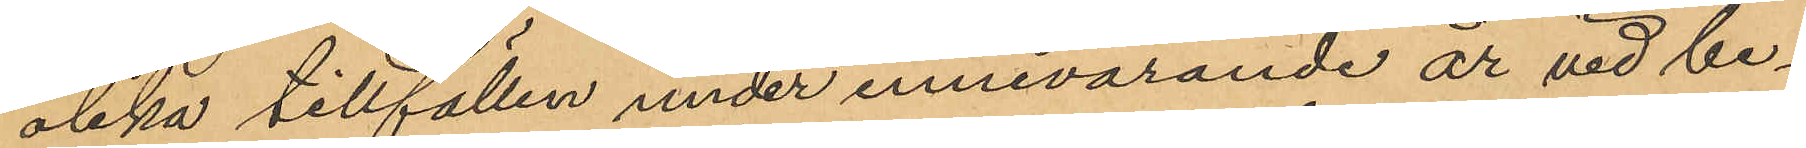olika tillfällen under innevarande år vid be¬
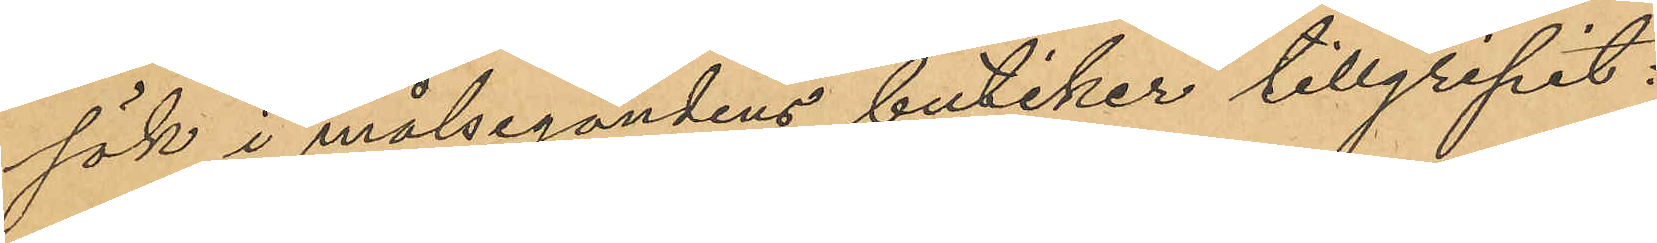sök i målsegandens butiker tillgripit:
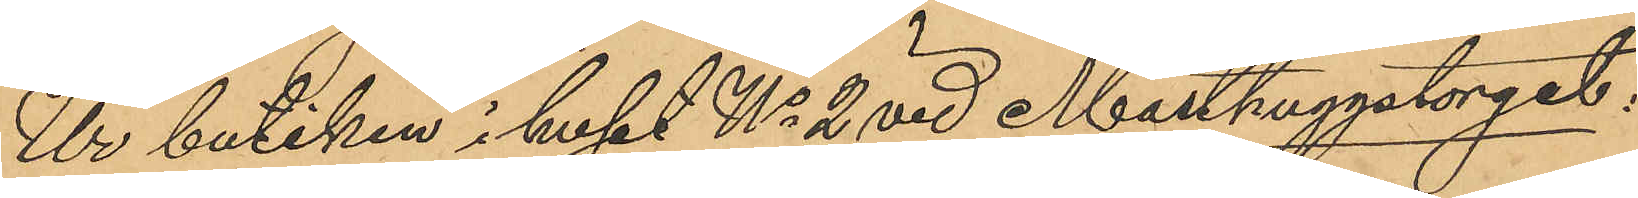Ur butiken i huset No 2 vid Masthuggstorget;
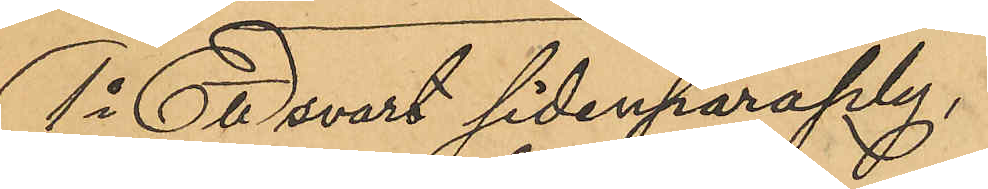1o En svart sidenparaply,
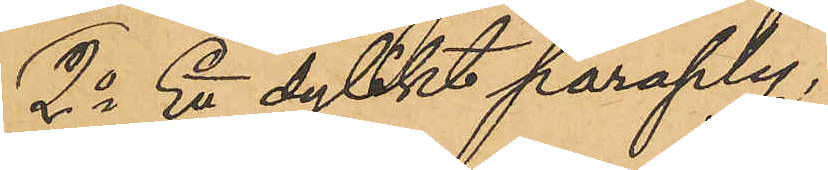2o Ett dylikt paraply,
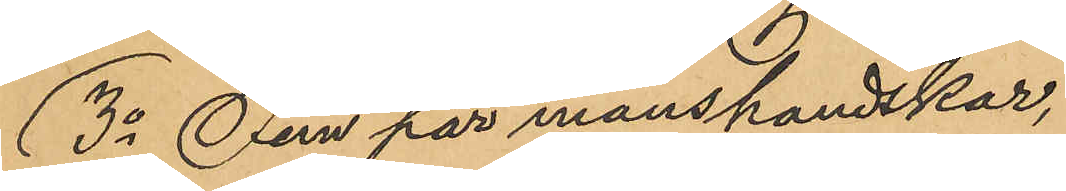3o Fem par manshandskar,
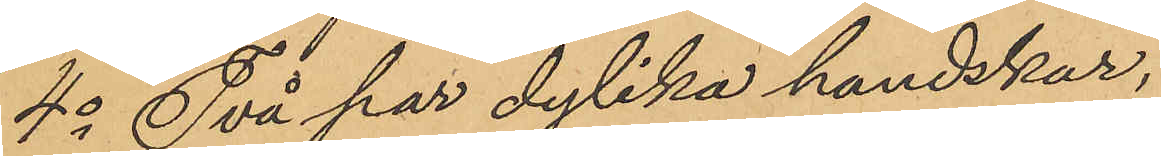4o Två par dylika handskar,
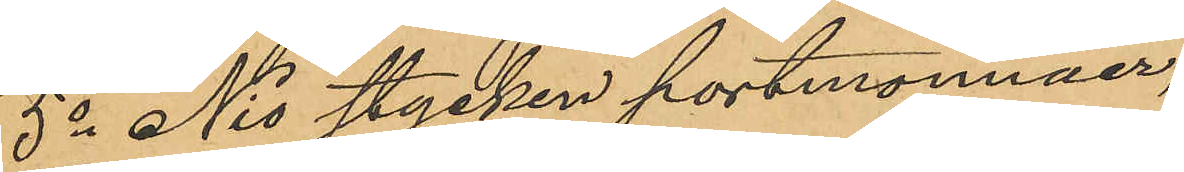5o Nio stycken portmonnäer,
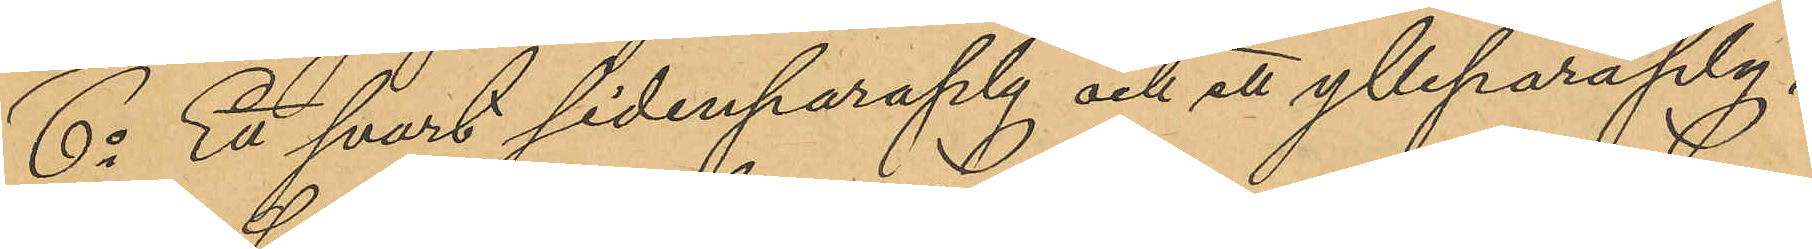6o Ett svart sidenparaply och ett ylleparaply,
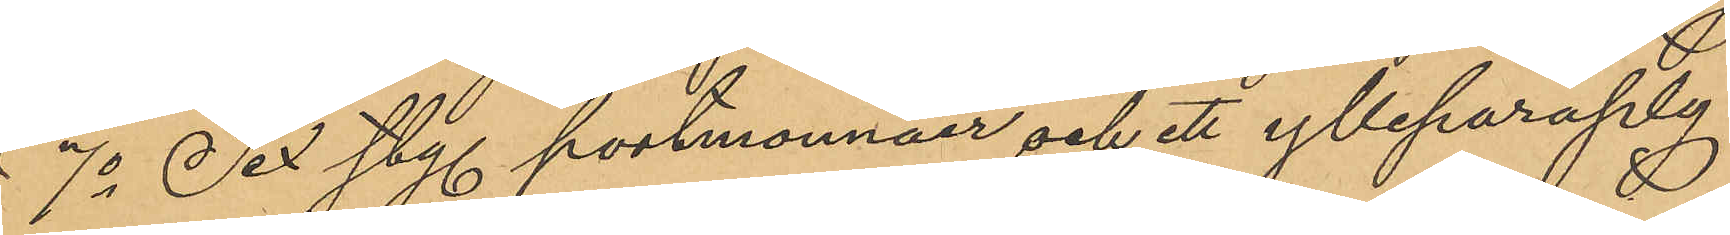7o Sex sty. portmonnäer och ett ylleparaply,
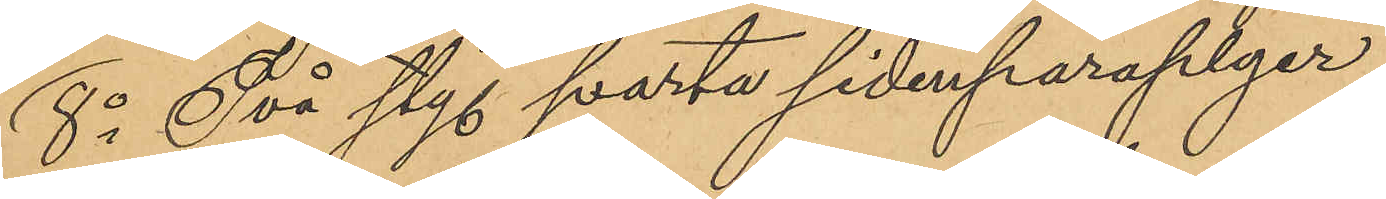8o Två sty. svarta sidenparaplyer,
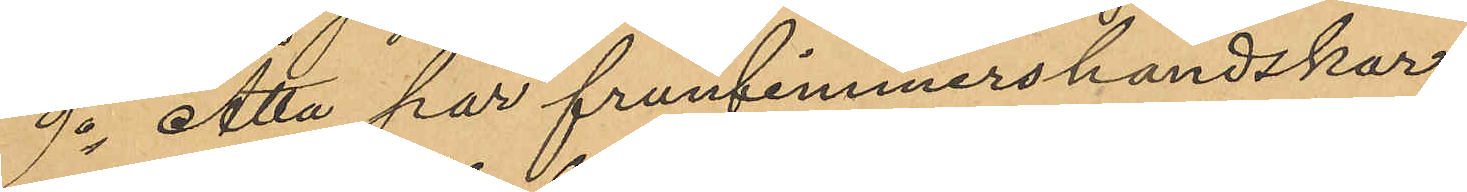9o Åtta par fruntimmershandskar,
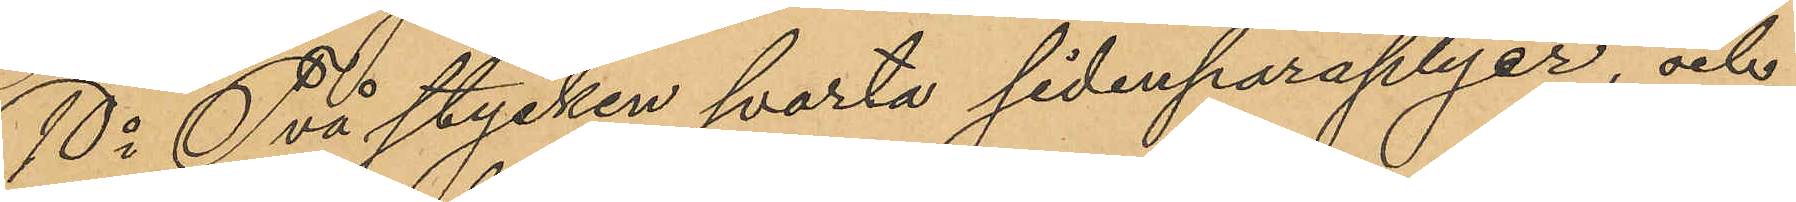10o Två stycken svarta sidenparaplyer, och
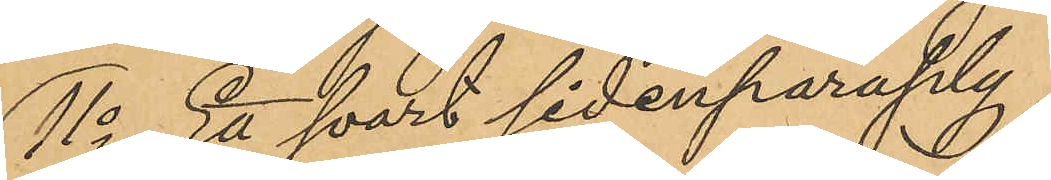11o Ett svart sidenparaply,
